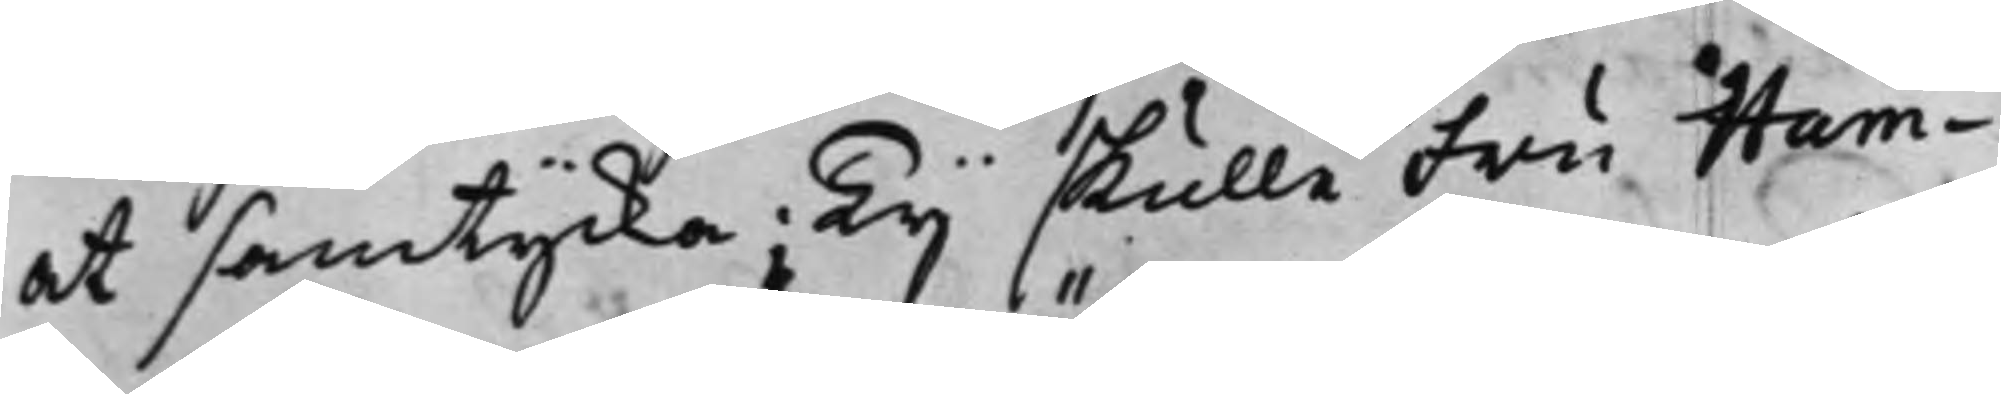at samtycka; Ty skulle Fru Hum¬
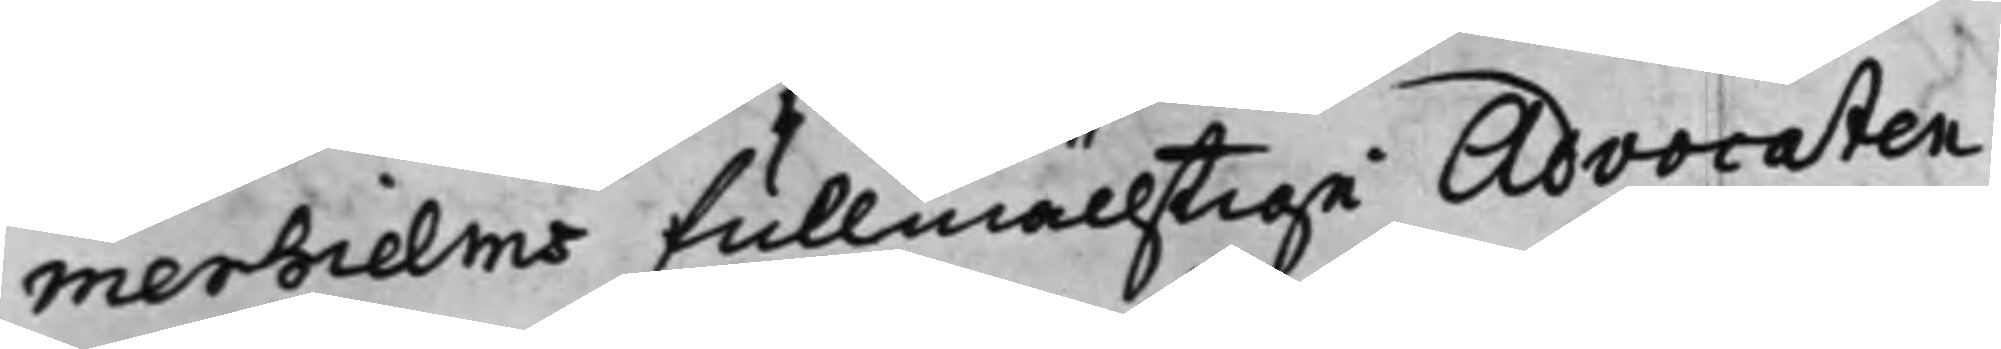merhielms fullmächtige Advocaten
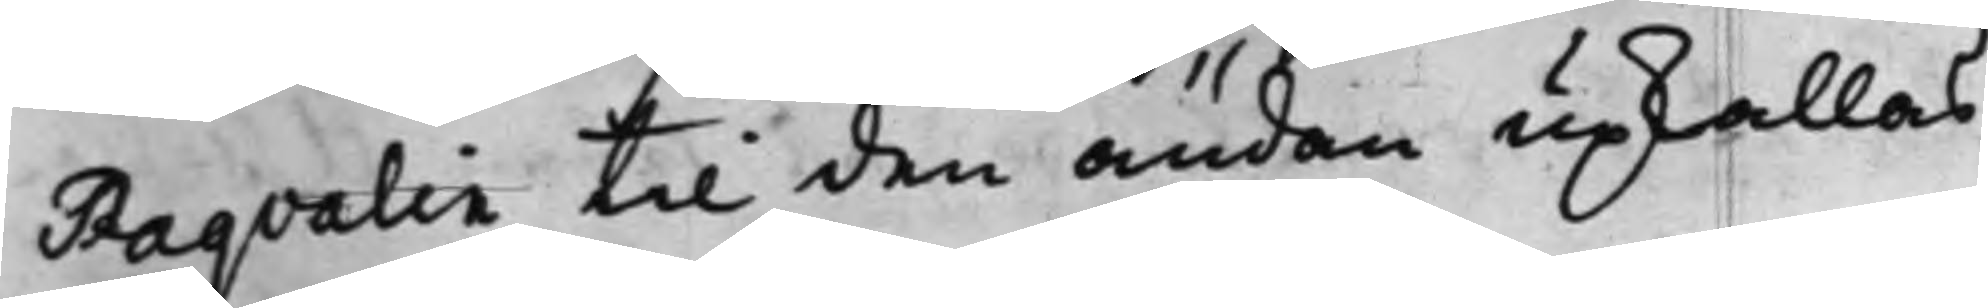Raqvalie till den ändan upkallas
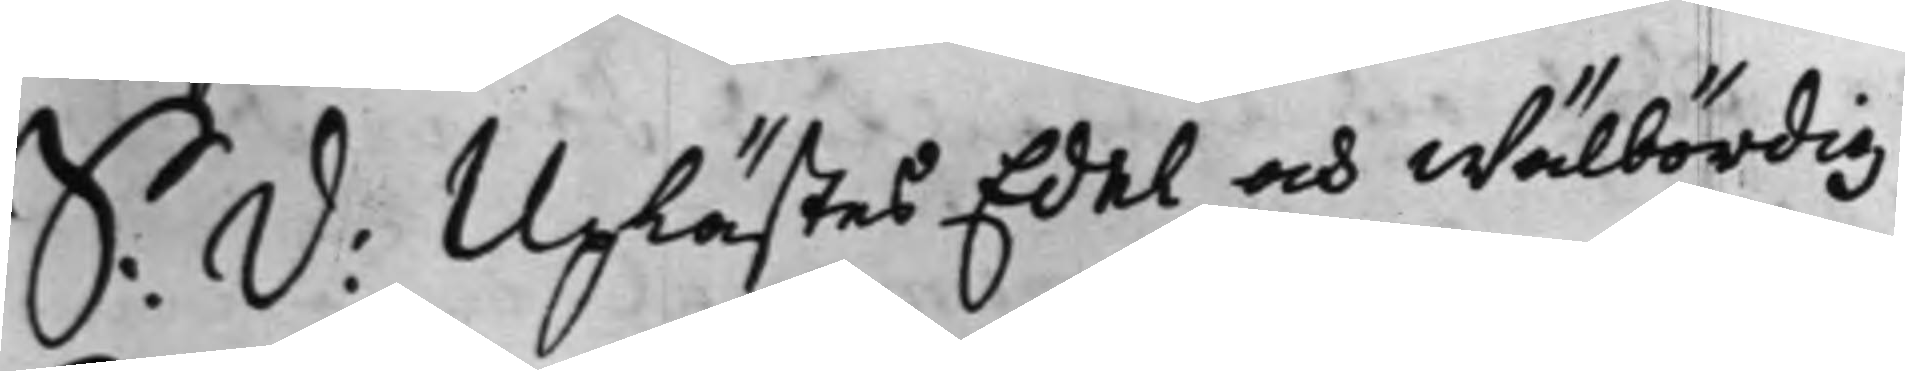S: D: Uplästes Edel och Wälbördig
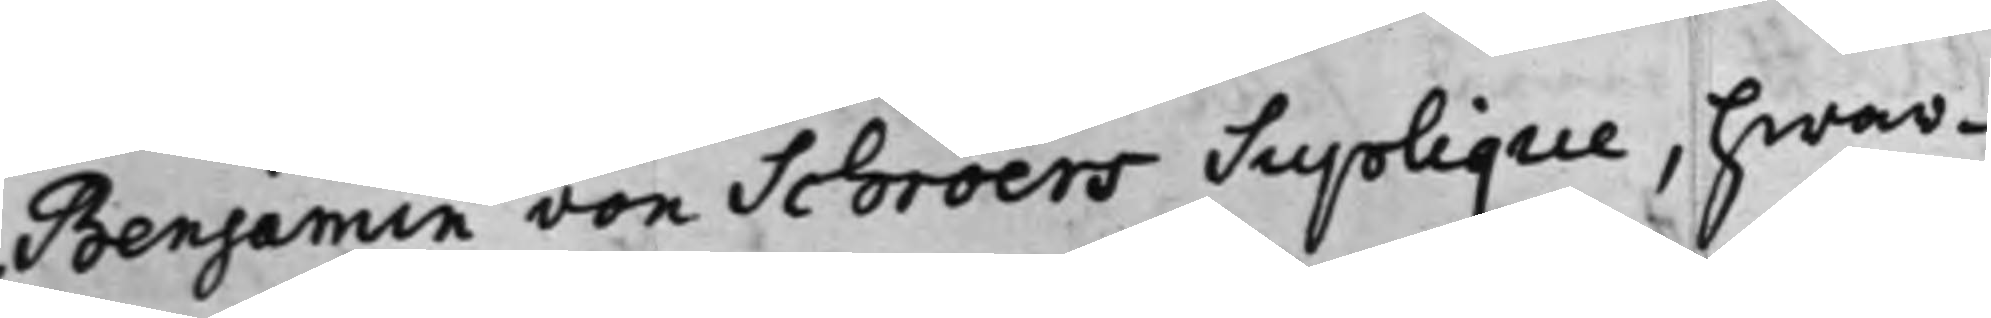Benjamin von Schroers Suplique, hwar¬
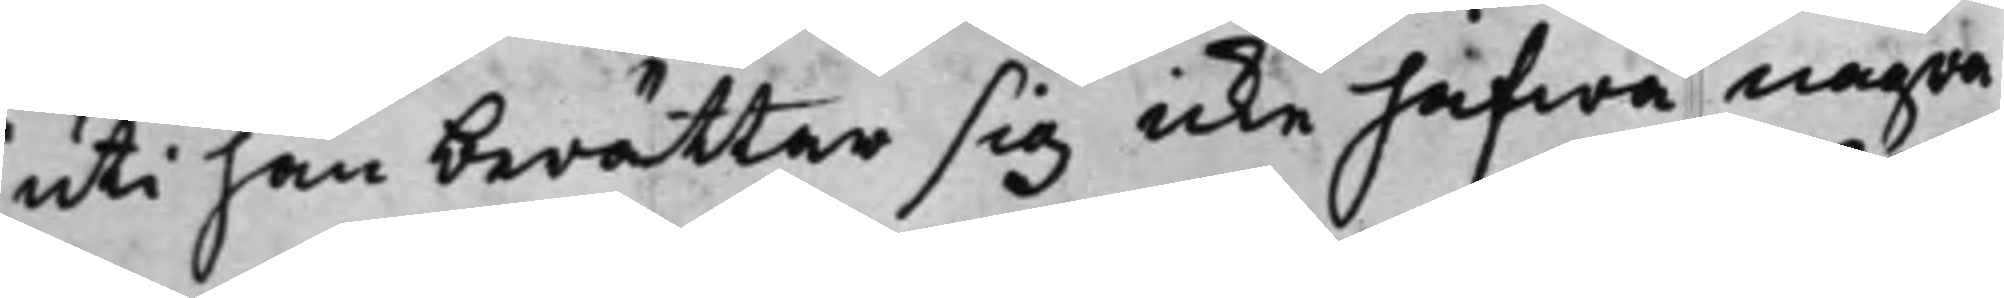uti han berättar sig icke hafwa några
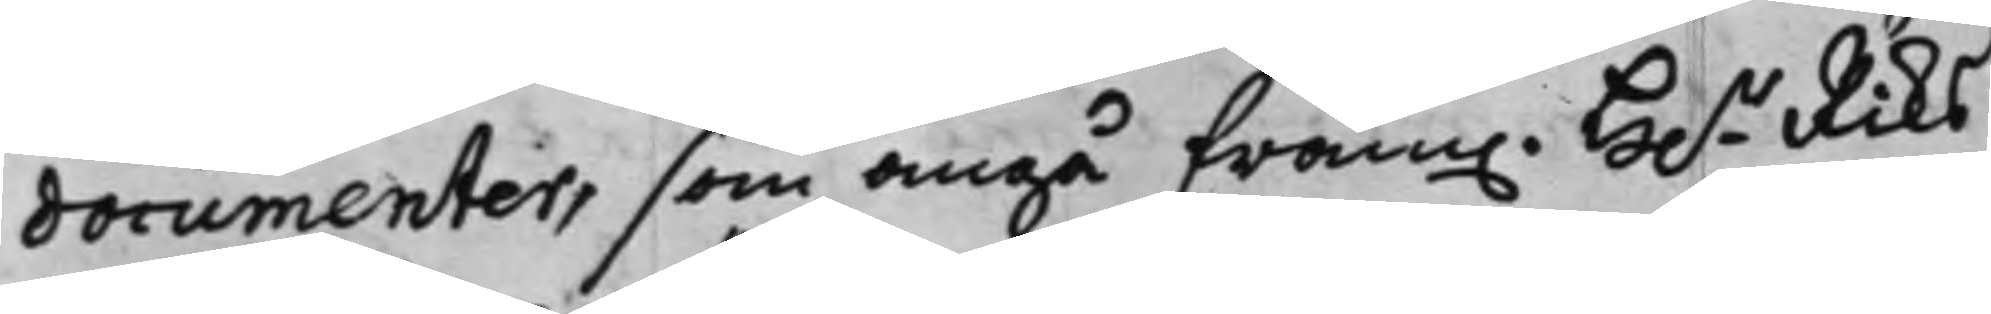documenter, som angå fram. H.r Riks¬
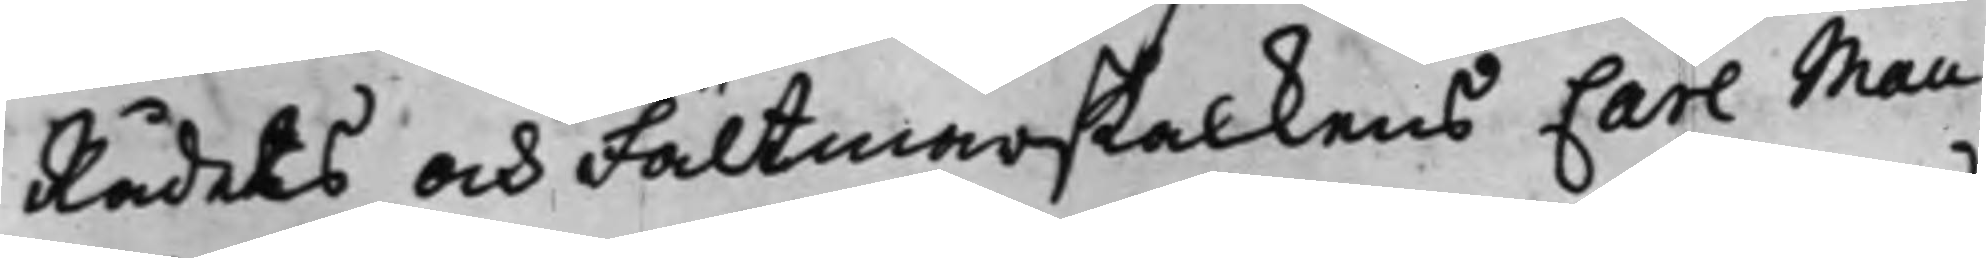Rådets och Fällmarskalkens Carl Mau¬
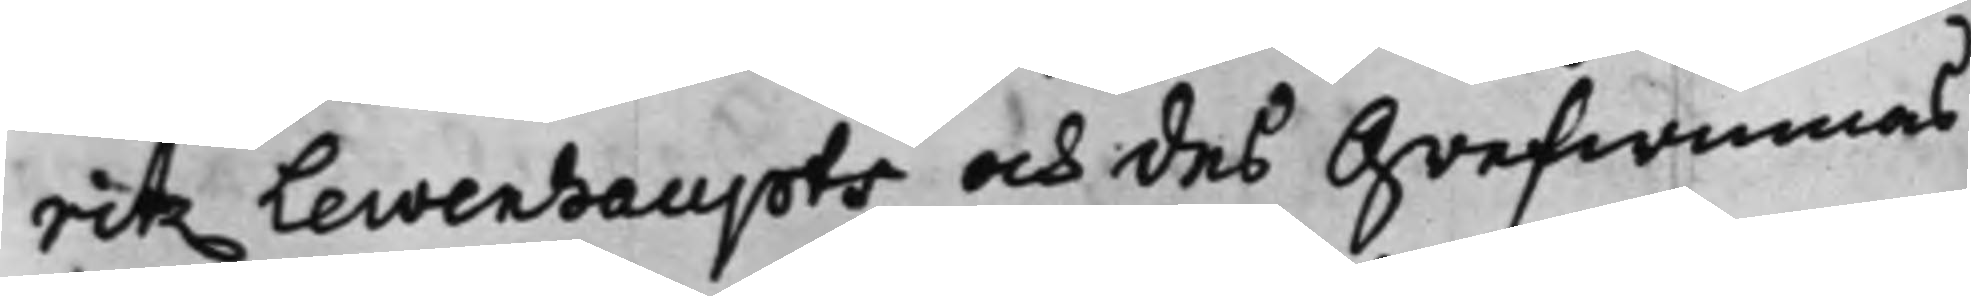ritz Lewenhaupts och des Grefwinnas
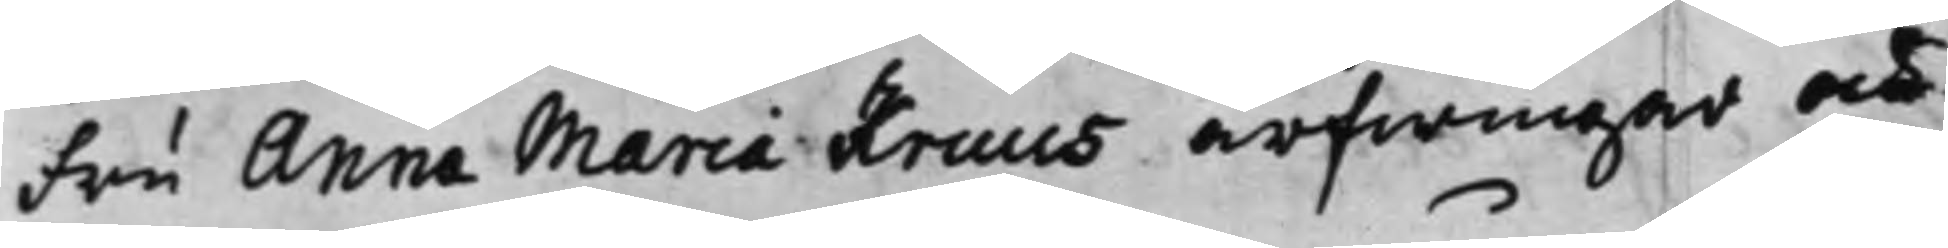Fru Anna Maria Kruus arfwingar och
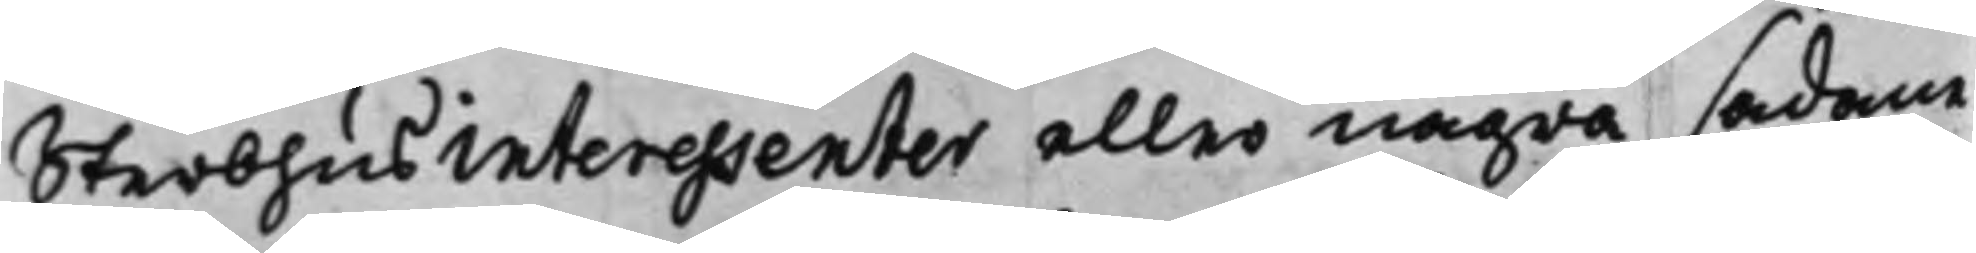Sterbhus interessenter eller några sådane
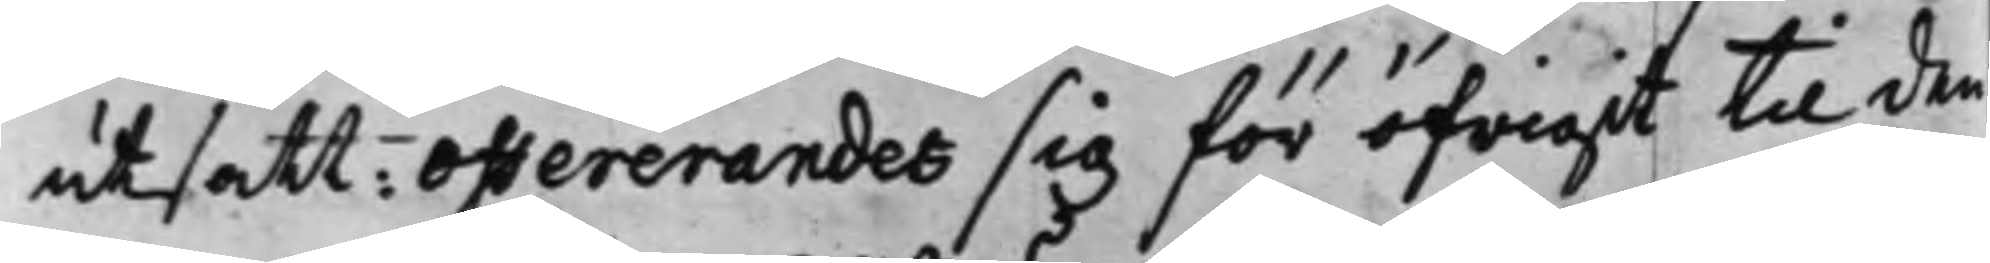utsatt: offererandes sig för öfrigit til den
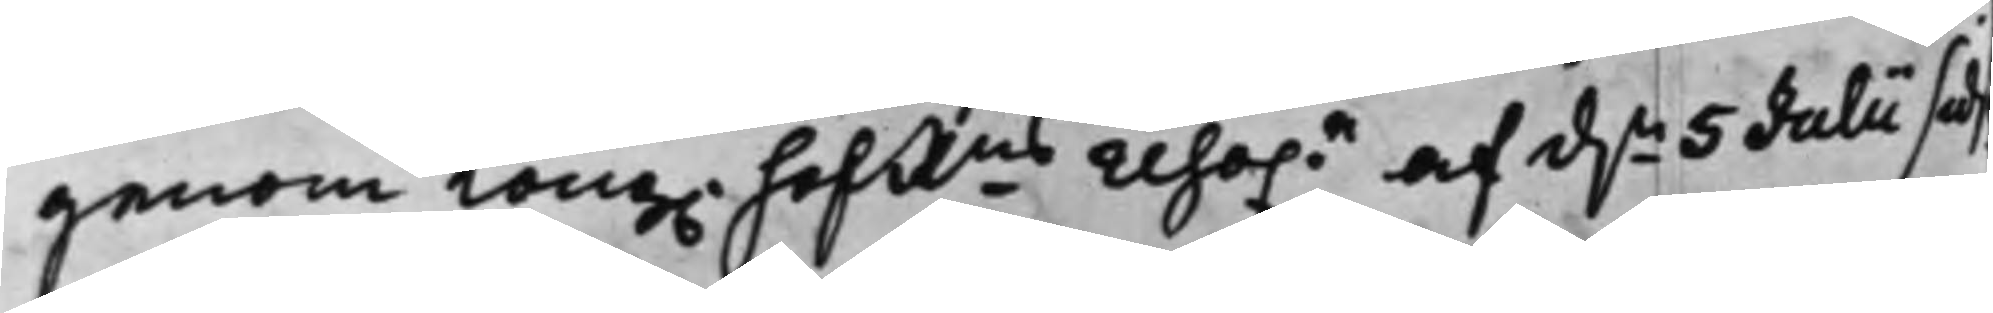genom Kong. HofRns reso.n af d.n 5 Julii sids
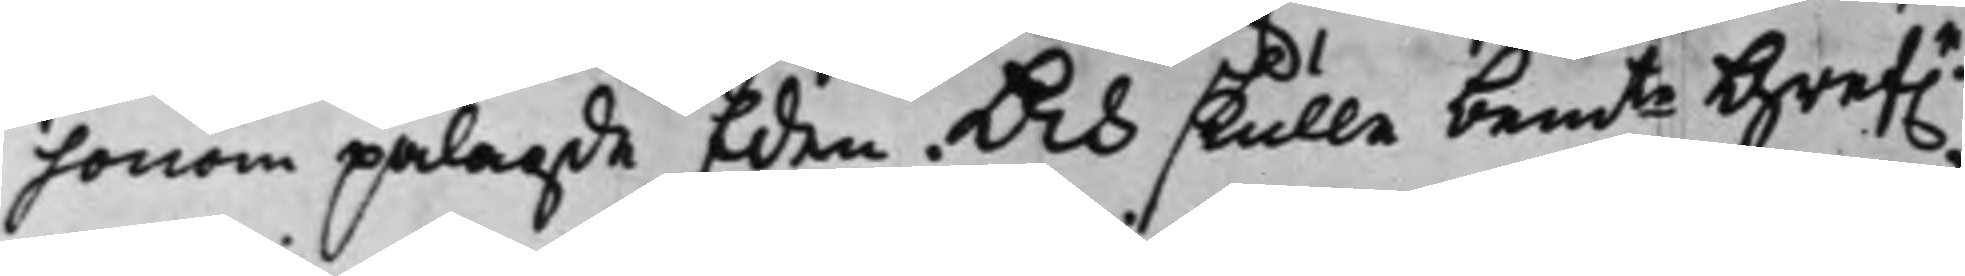honom pålagde Eden. Och skulle bemte Gref.n
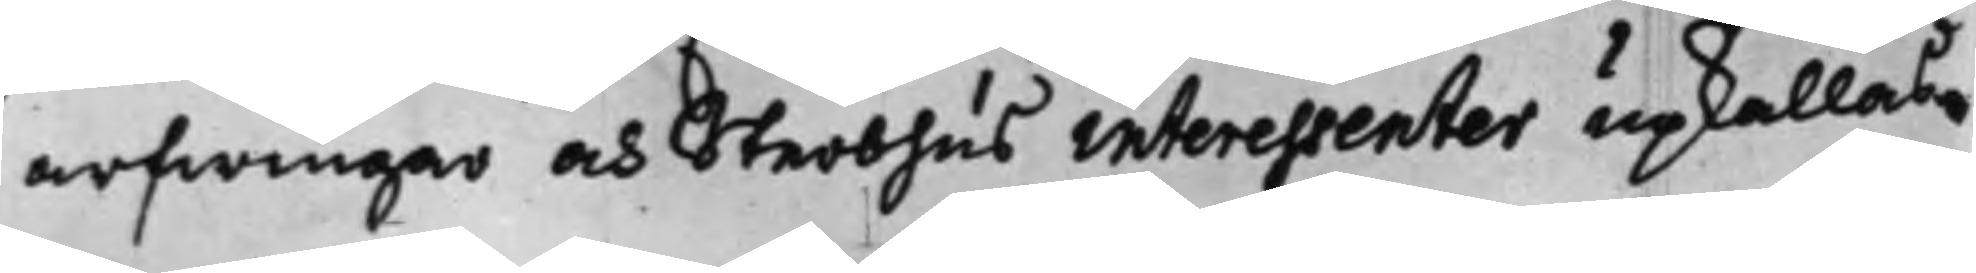arfwingar och Sterbhus interessenter upkallas.
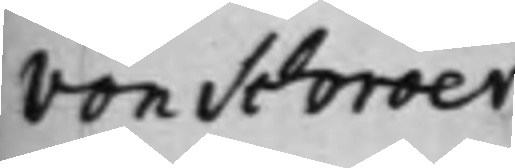von Schröer
